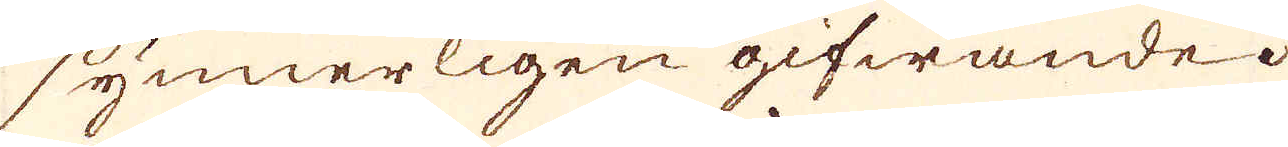synnerligen gifwande.
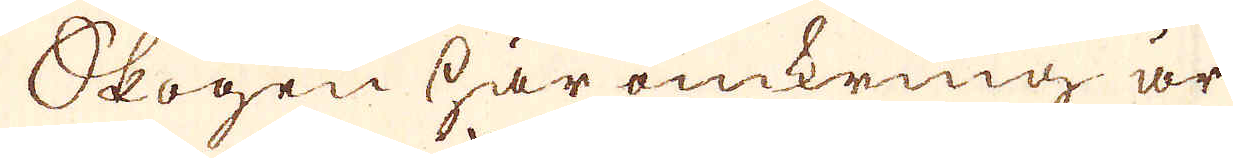Skogen här omkring är
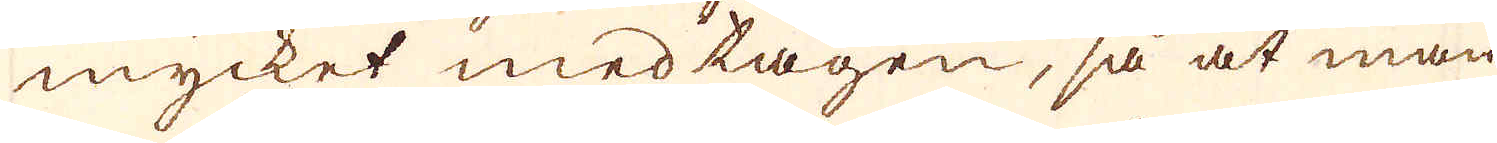mycket medtagen, så at man
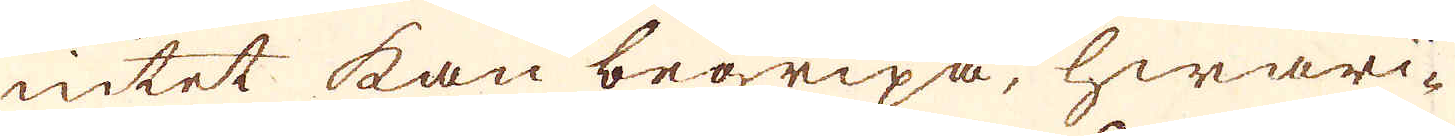intet kan begripa, hwari-
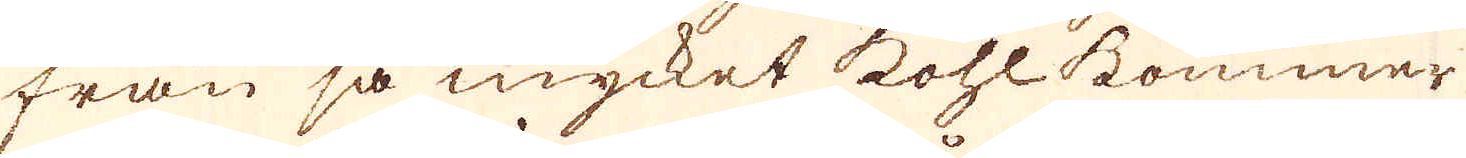från så mycket kohl kommer
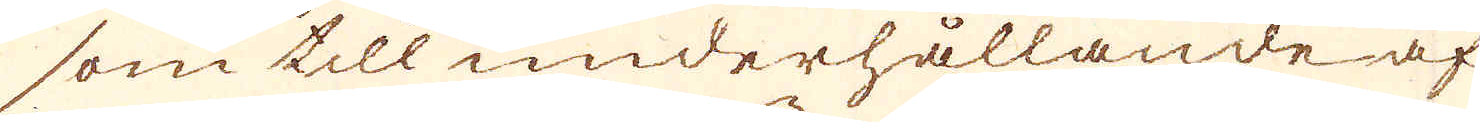som till underhållande af
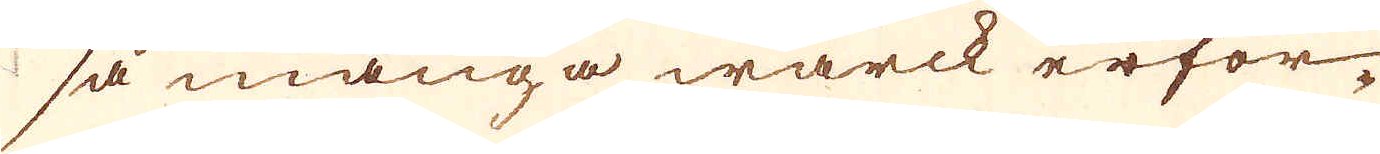så många wärck erfor-
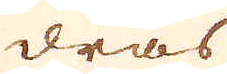dras
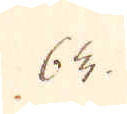63.
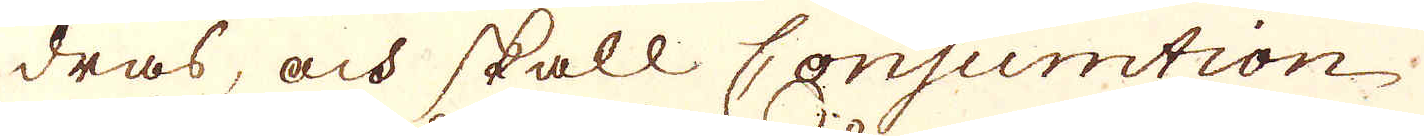dras, och skall Consumtion
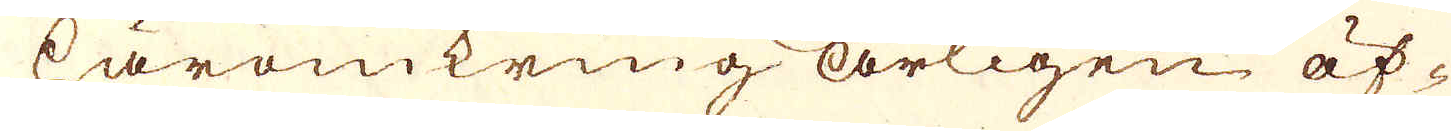häromkring årligen öf-
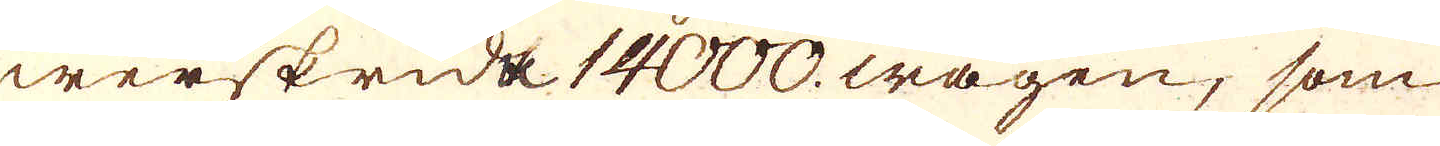werskrida 14000. wagen, som
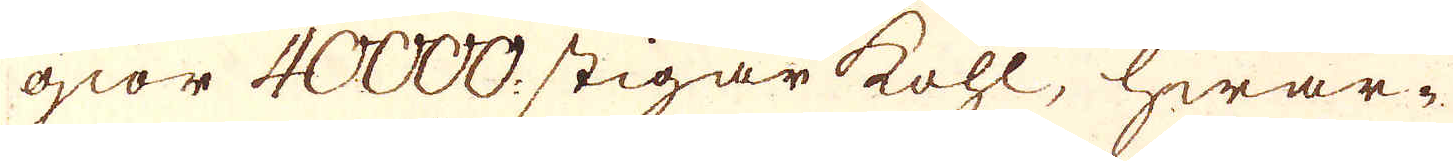giör 40000. stigar kohl, hwar-
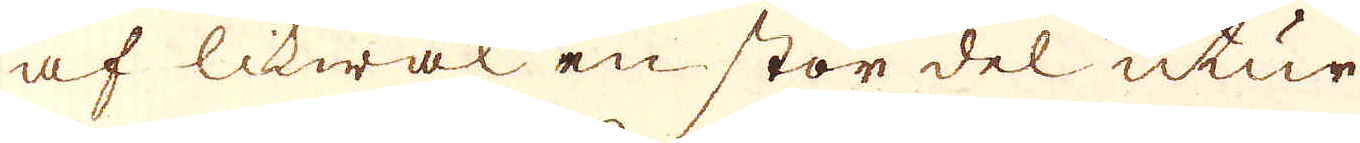af likwäl en stor del utur
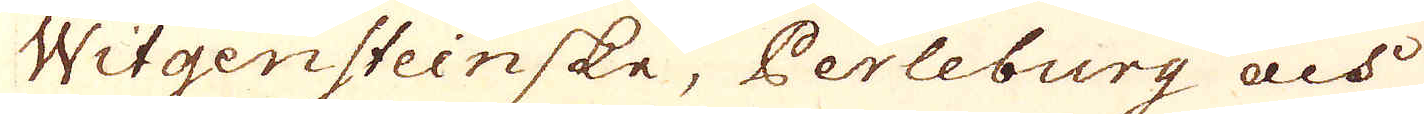Witgensteinske, Perleburg och
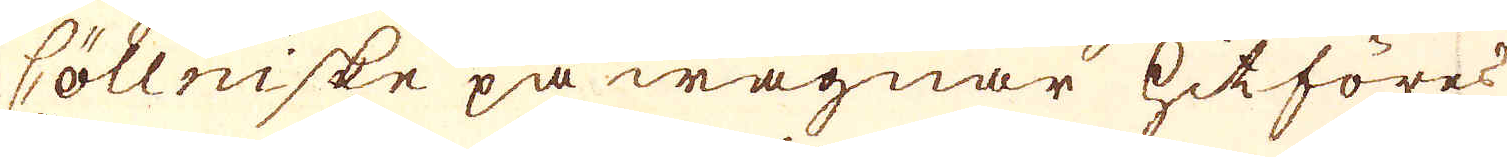Cöllniske på wagnar hitföres
